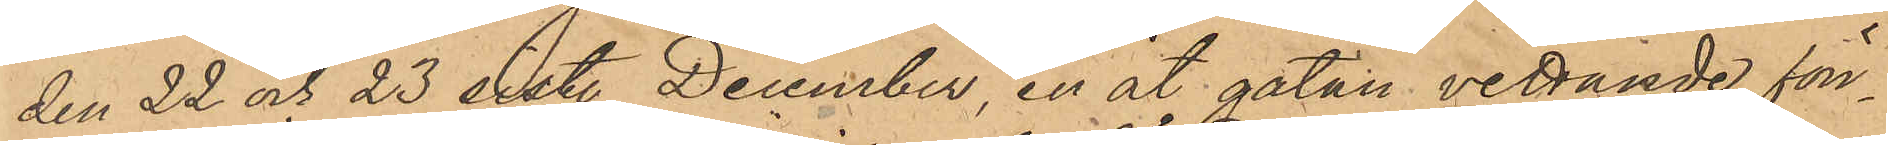den 22 och 23 sist. December, en åt gatan vettande fön¬
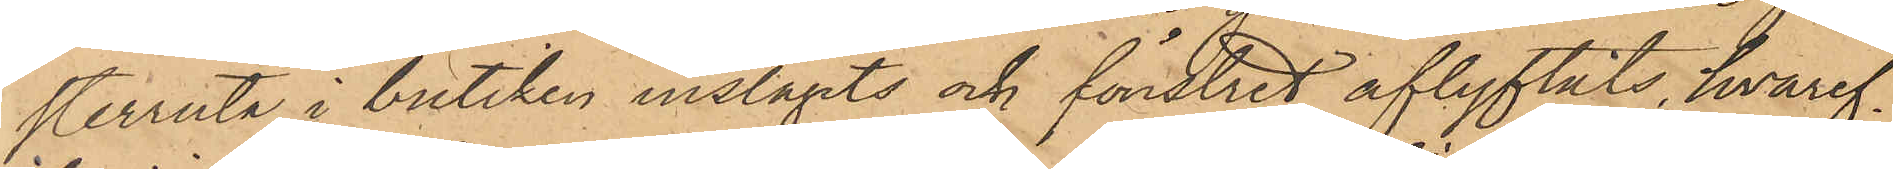sterruta i butiken inslagits och fönstret aflyftats, hvaref¬
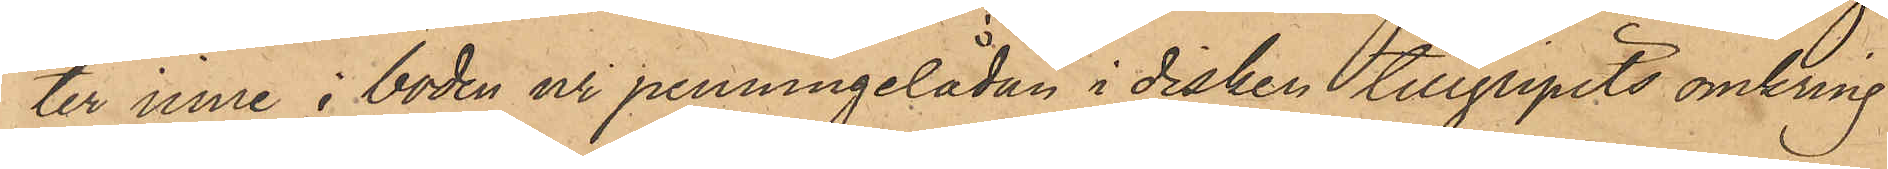ter inne i boden ur penningelådan i disken tillgripits omkring
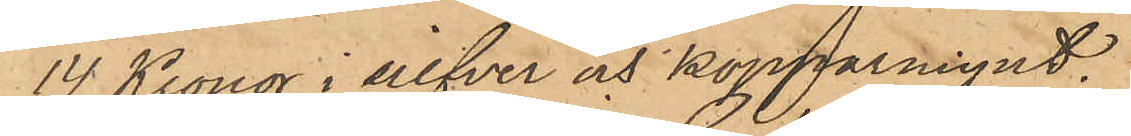14 Kronor i silfver och kopparmynt;
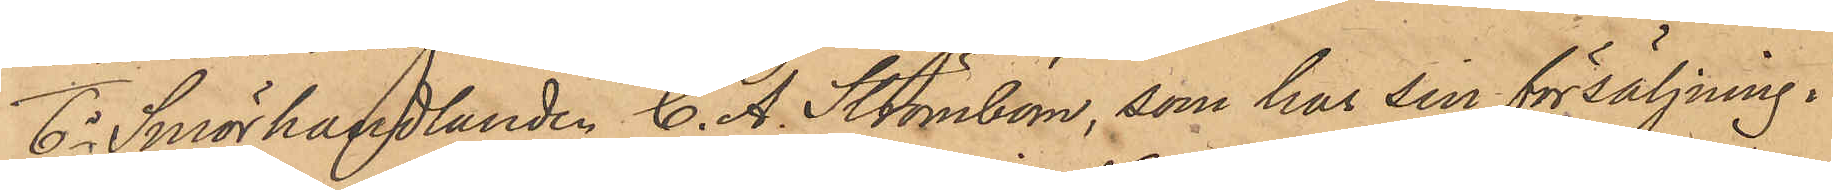6o Smörhandlanden C. A. Strömbom, som har sin försäljning i
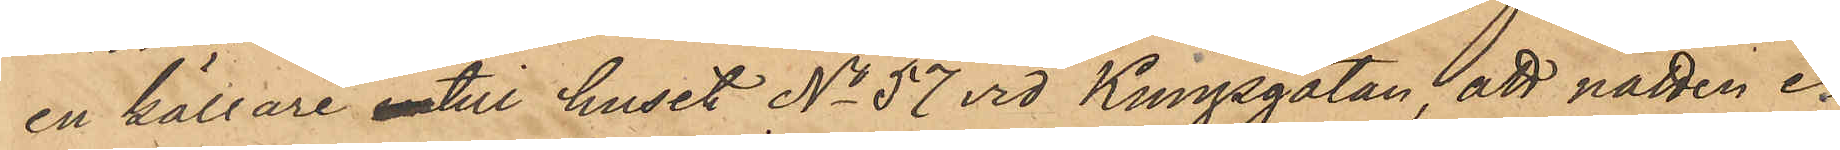en källare intill huset No 57 vid Kunggatan, att natten e¬
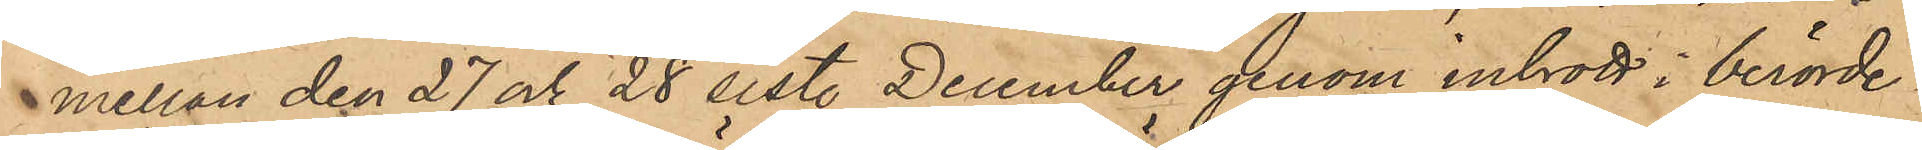mellan den 27 och 28 sist. December genom inbrott i berörde
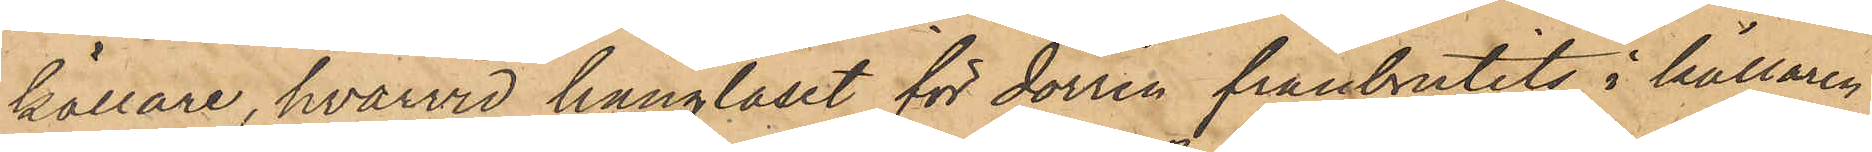källare, hvarvid hänglåset för dörren frånbrutits, i källaren
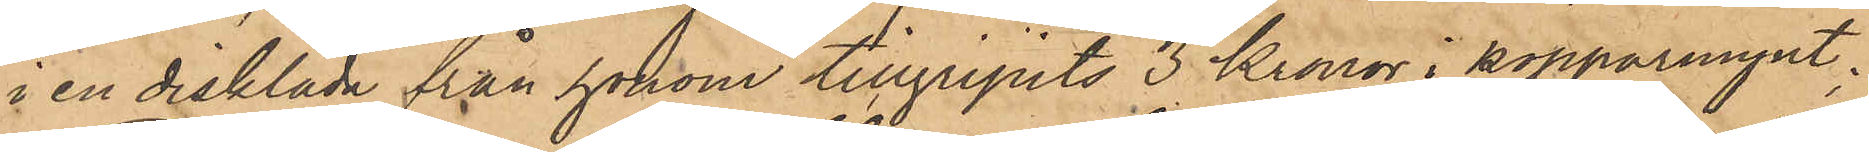i en disklåda från honom tillgripits 3 Kronor i kopparmynt;
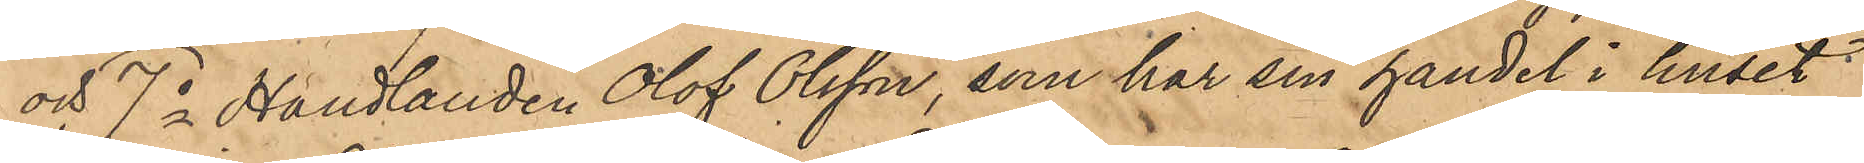och 7o Handlanden Olof Olsson, som har sin handel i huset
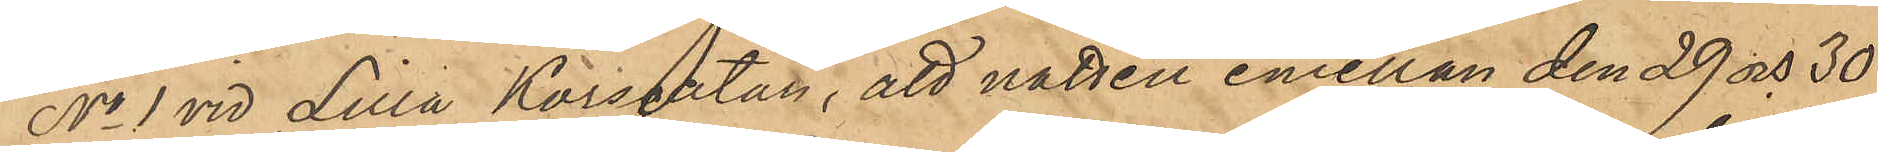No 1 vid Lilla Korsgatan, att natten emellan den 29 och 30
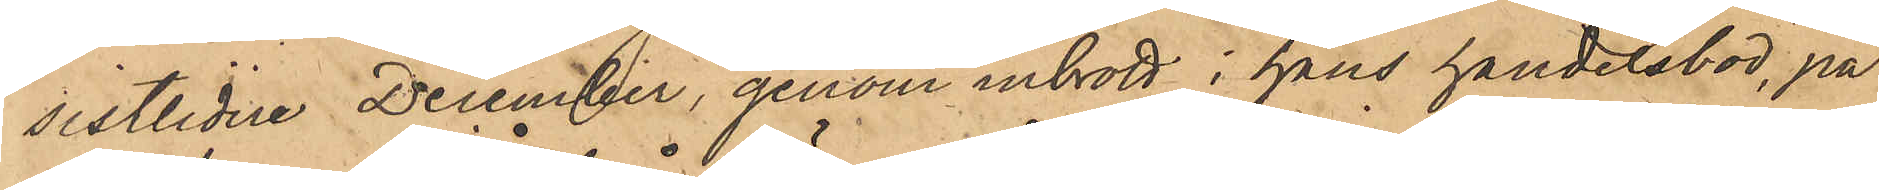sistlidne December, genom inbrott i hans handelsbod, på
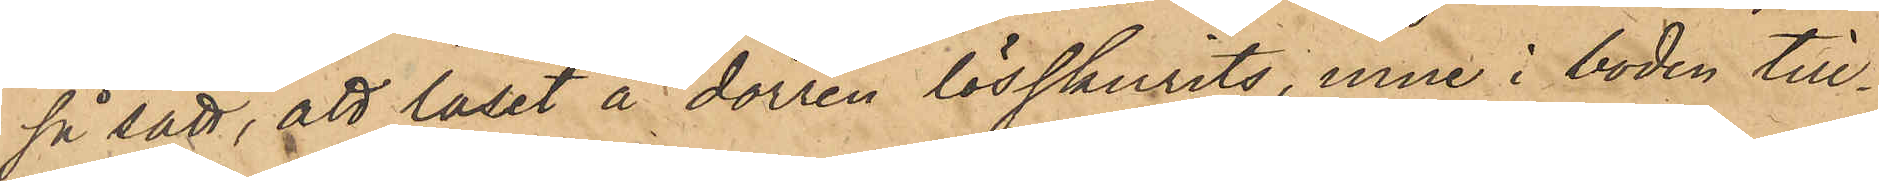så sätt, att låset å dörren lösskurits, inne i boden till¬
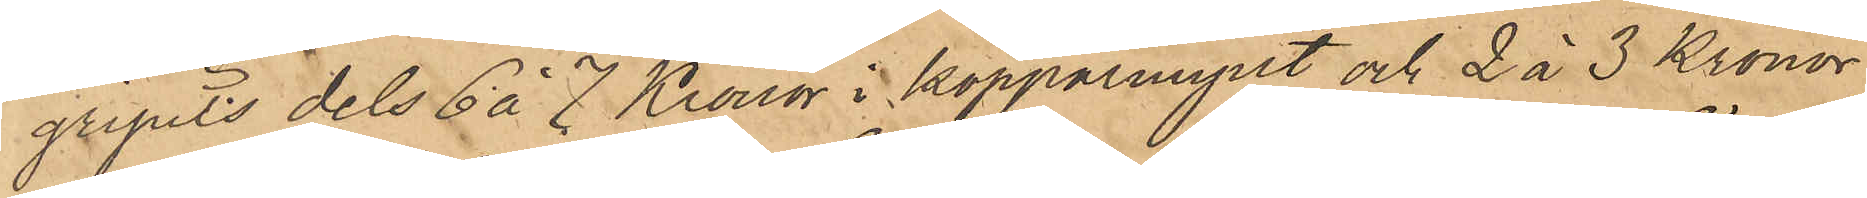gipits dels 6 á 7 Kronor i kopparmynt och 2 à 3 Kronor
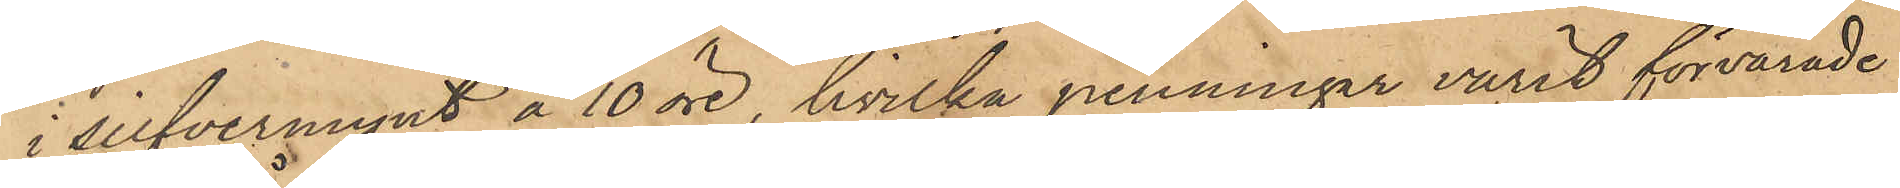i silfvermynt å 10 öre, hvilka penningar varit förvarade
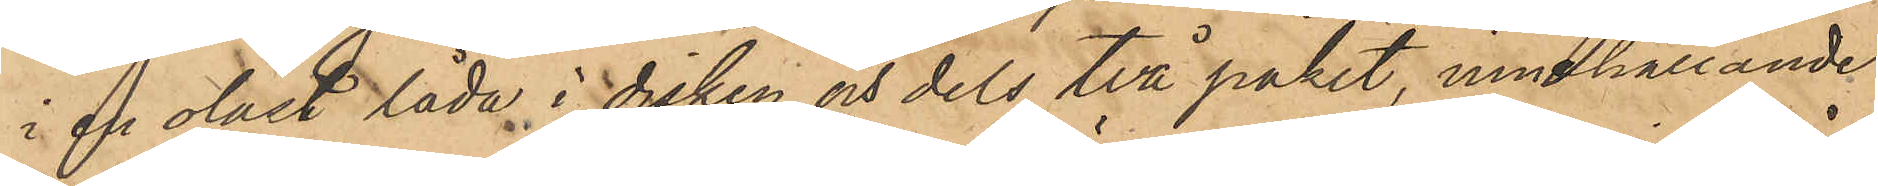i en olåst låda i disken och dels två paket, innehållande
